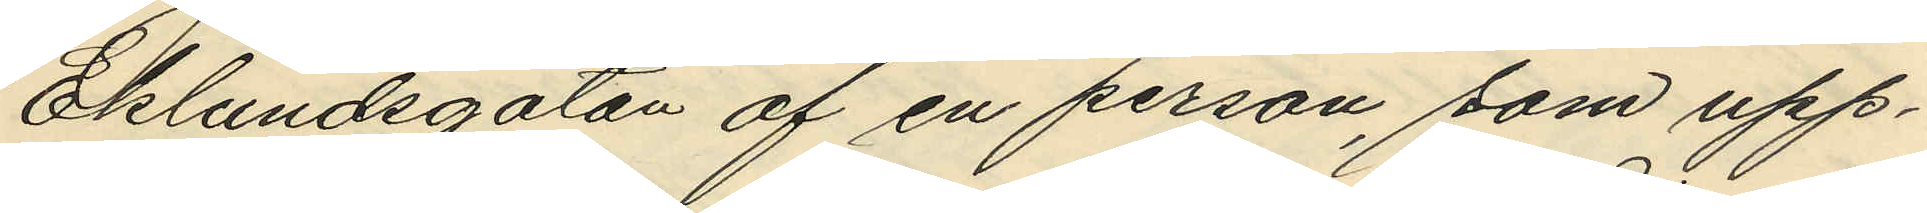Eklundsgatan af en person, som upp¬
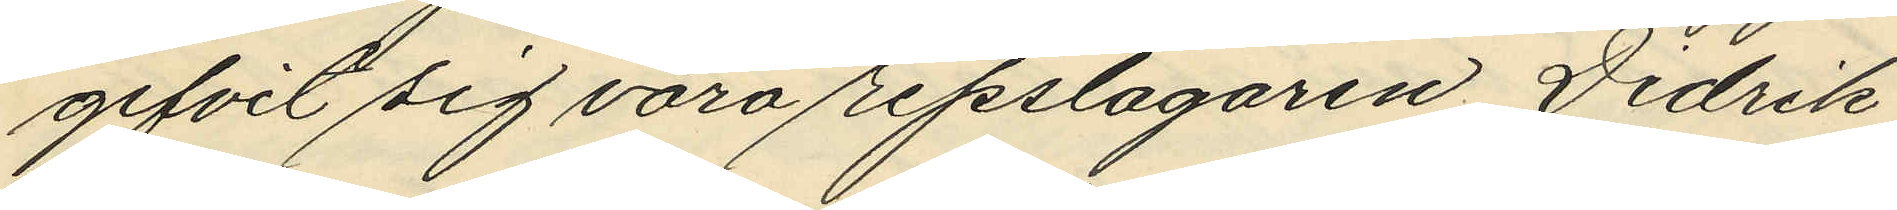gifvit sig vara repslagaren Didrik
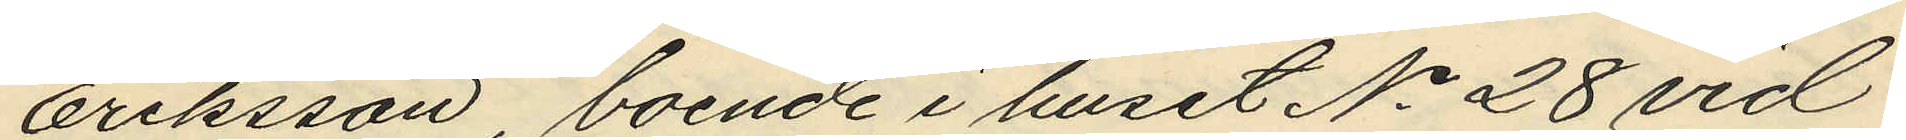Eriksson, boende i huset No 28 vid
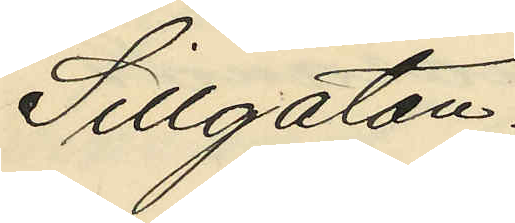Sillgatan.
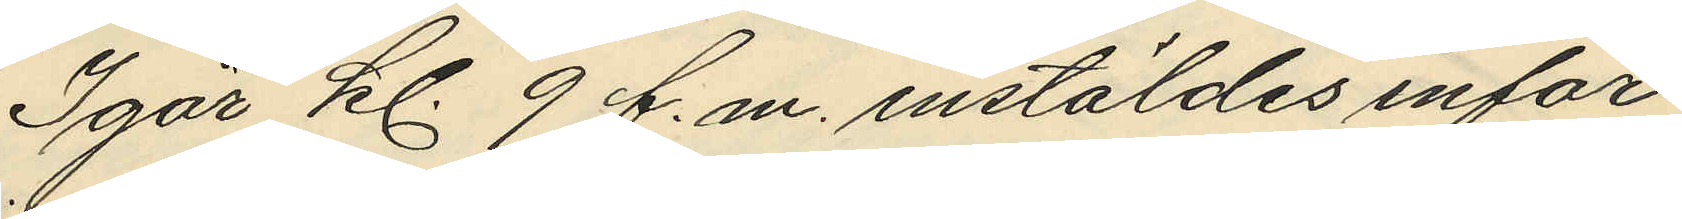Igår kl. 9 f. m. instäldes inför
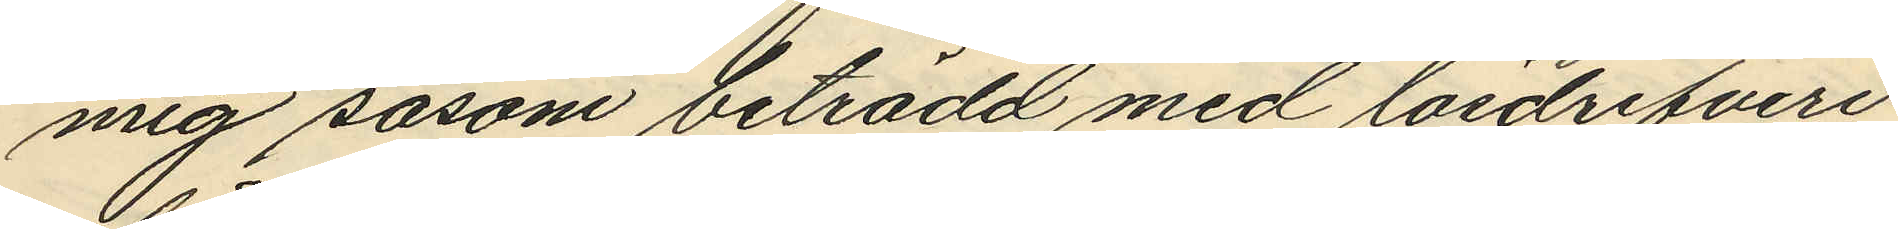mig såsom beträdd med lösdrifveri
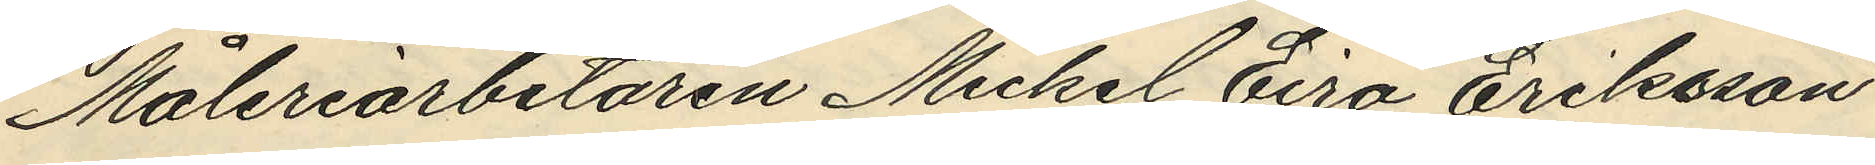Måleriarbetaren Mickel Eiro Eriksson
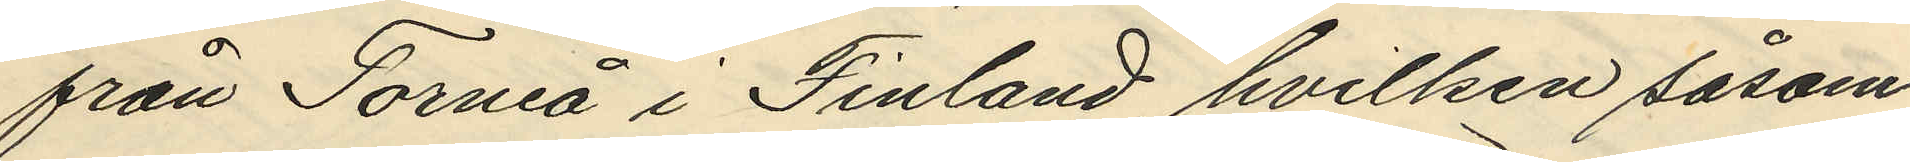från Torneå i Finland, hvilken såsom
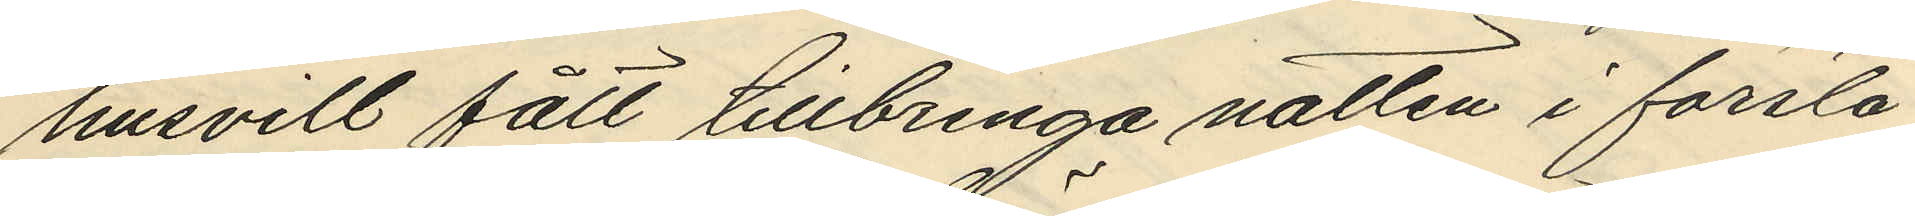husvill fått tillbringa natten i första
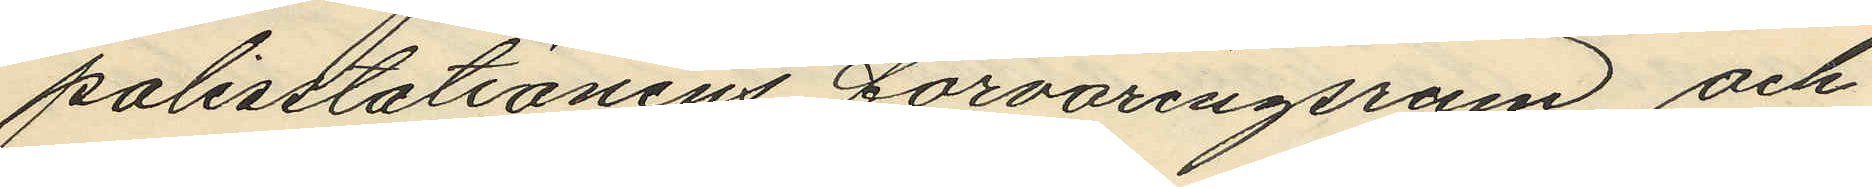polisstationens förvaringsrum; och
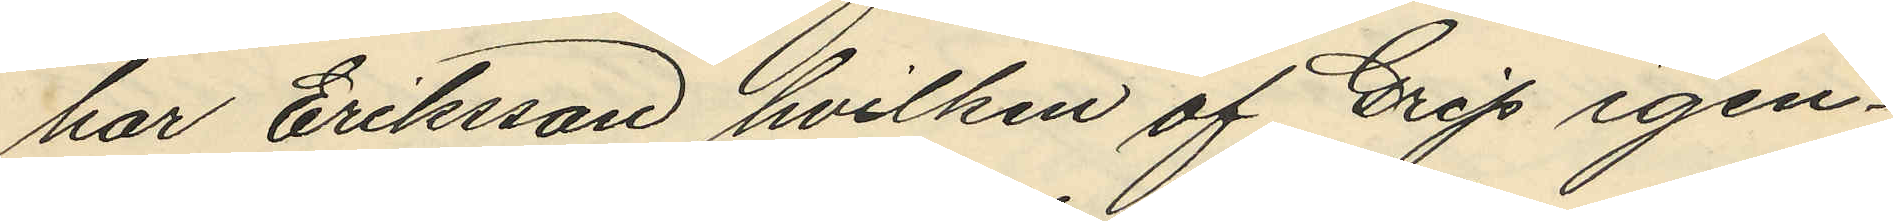har Eriksson, hvilken af Grip igen¬
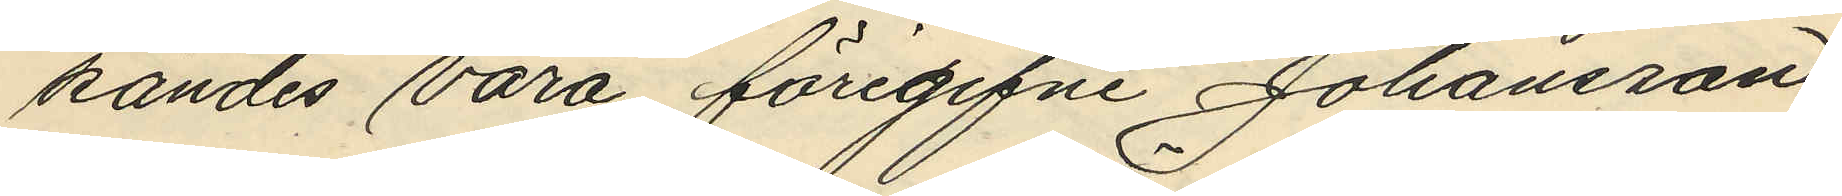kändes vara föregifne Johansson,
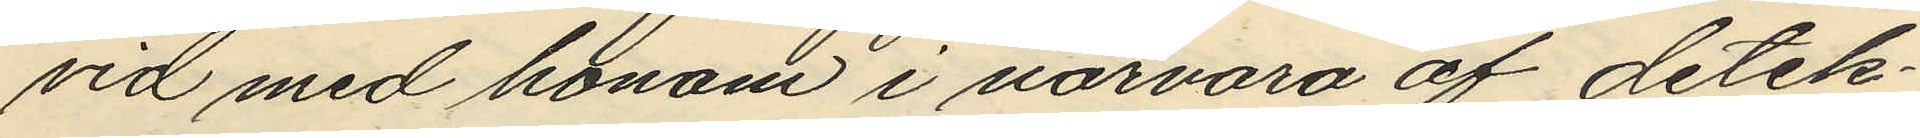vid med honom i närvaro af detek¬
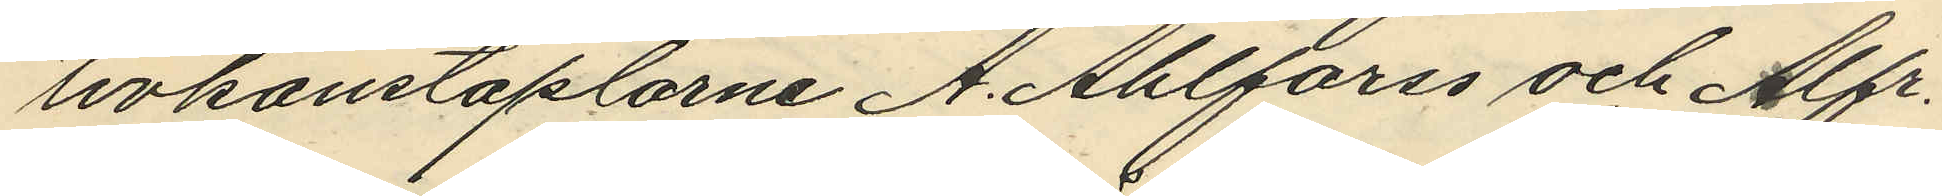tivkonstaplarne A. Ahlforss och Alfr.
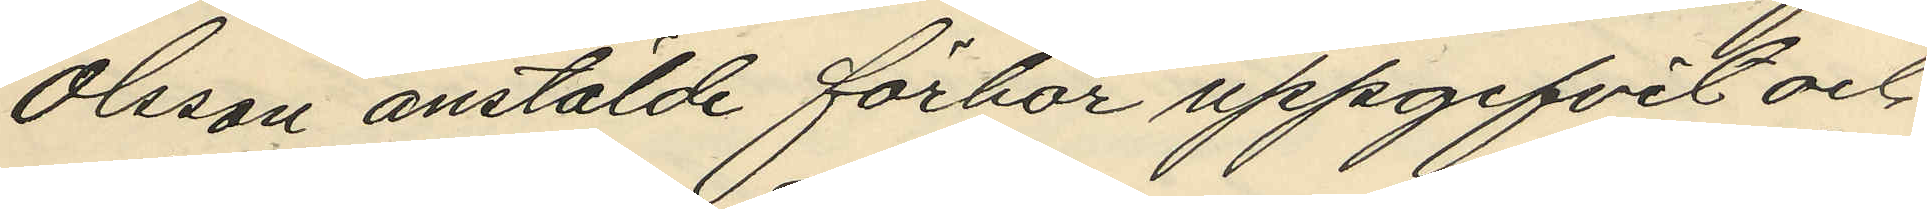Olsson anstälde förhör uppgifvit och
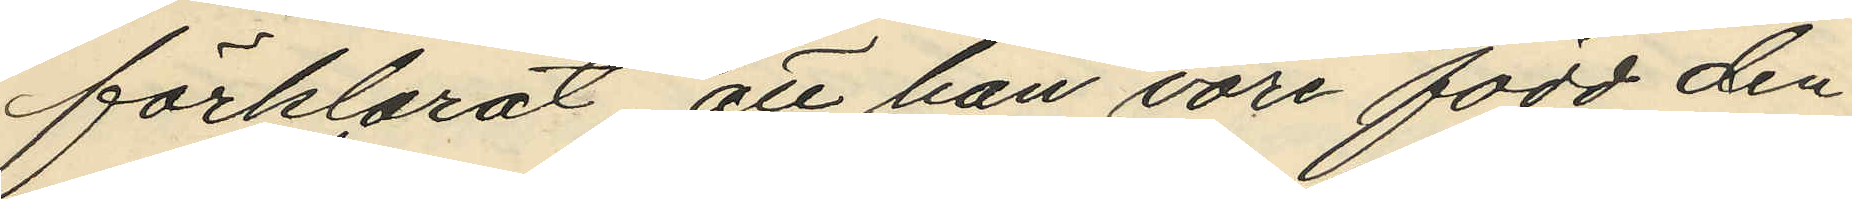förklarat, att han vore född den
